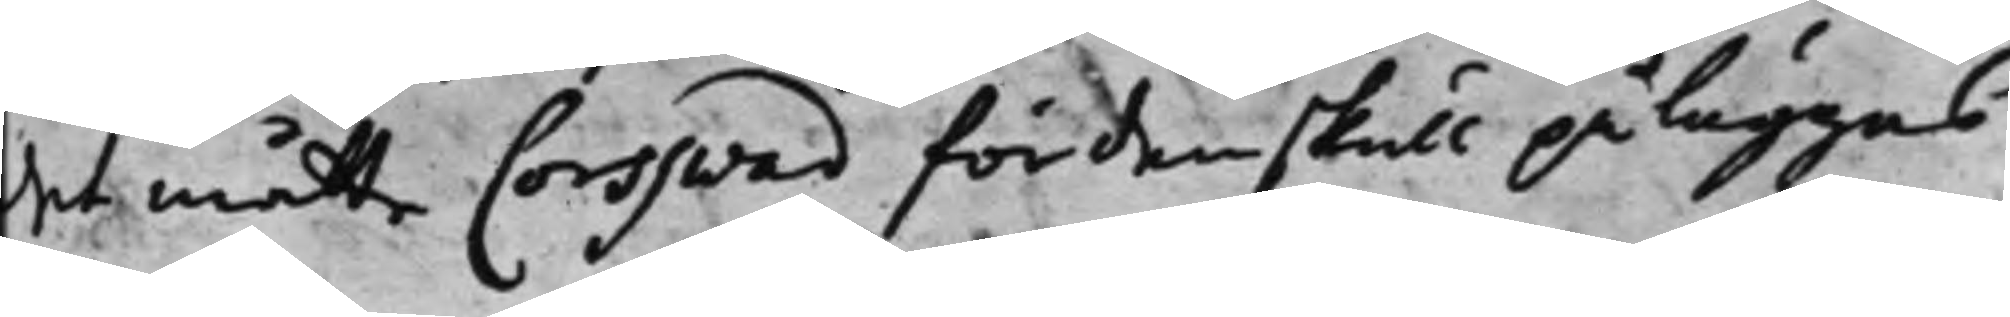det måtte Corsswad fördenskull påläggas
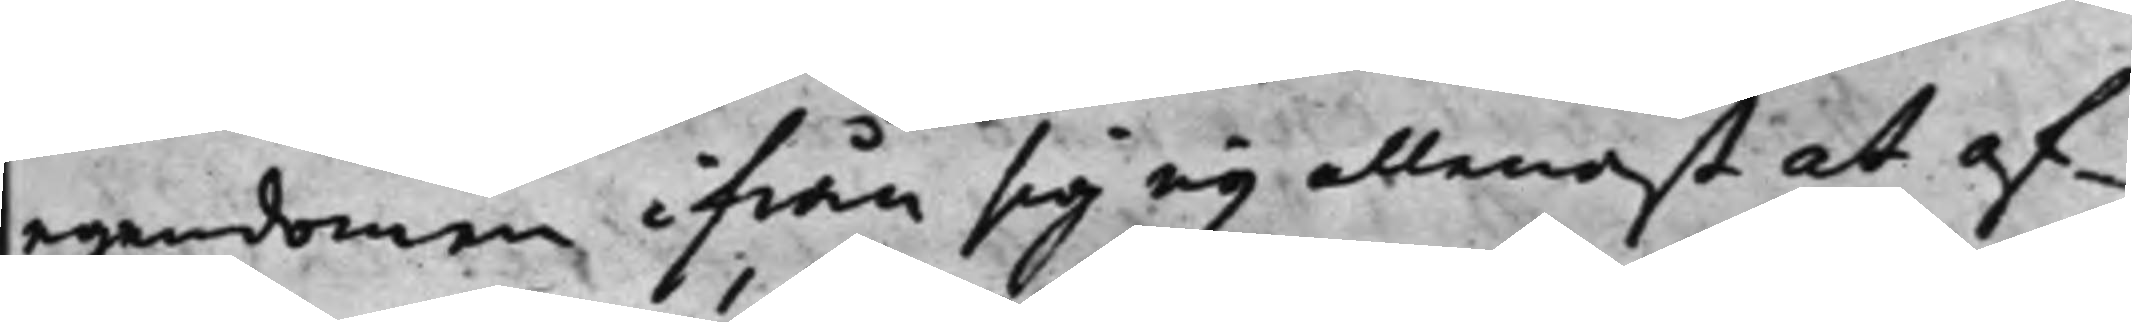egendomen ifrån sig ey allenast at af¬
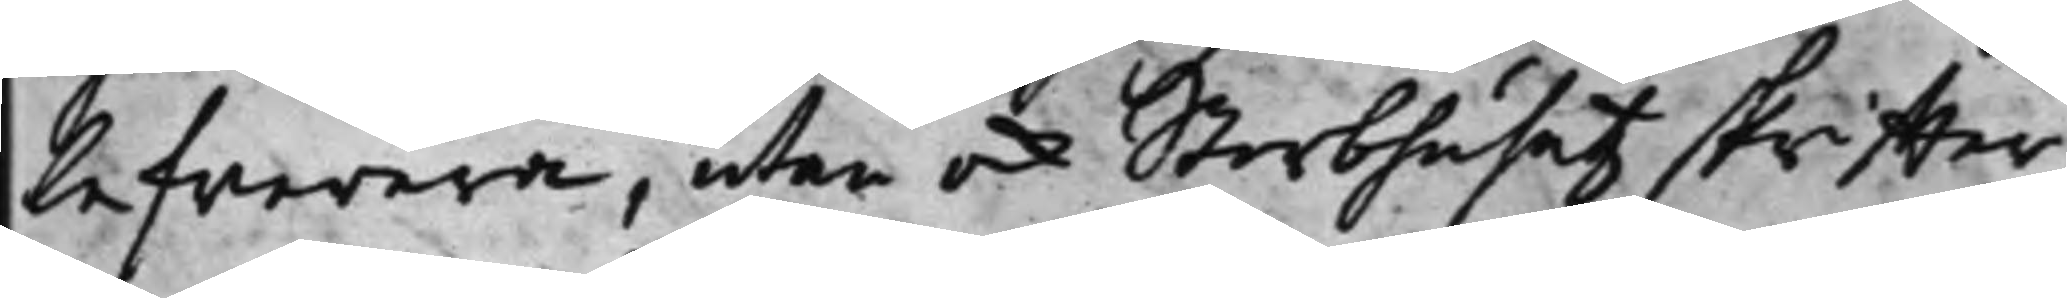lefwerera, utan ock Sterbhusetz skriffter
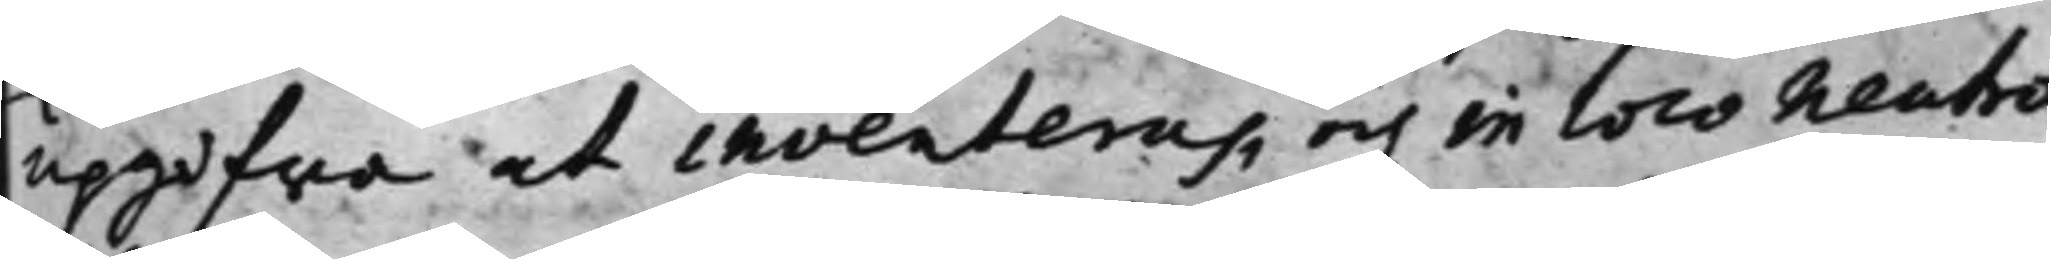upgifwa at inventeras, och in loco neutro
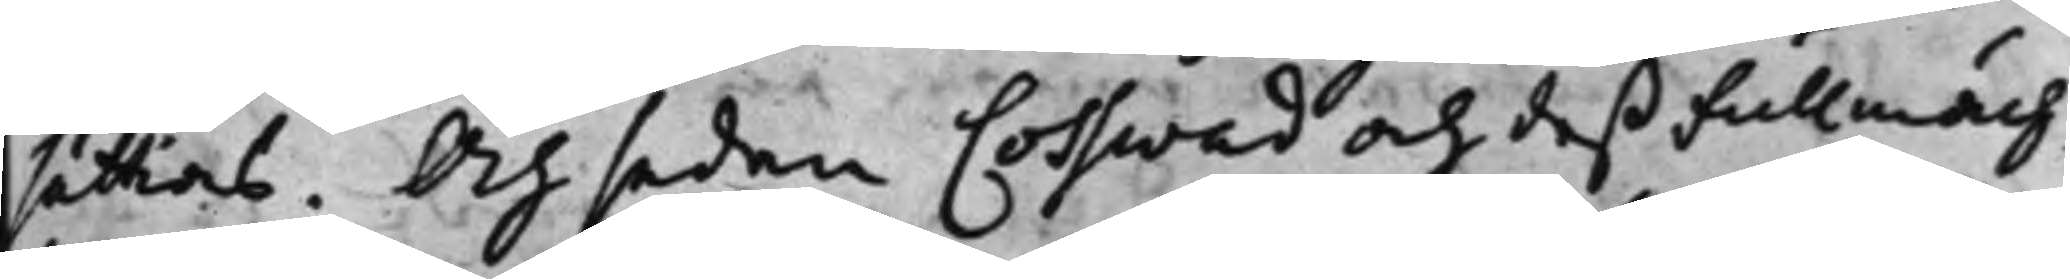sättias. Och sedan Cosswad och deß Fullmäch¬
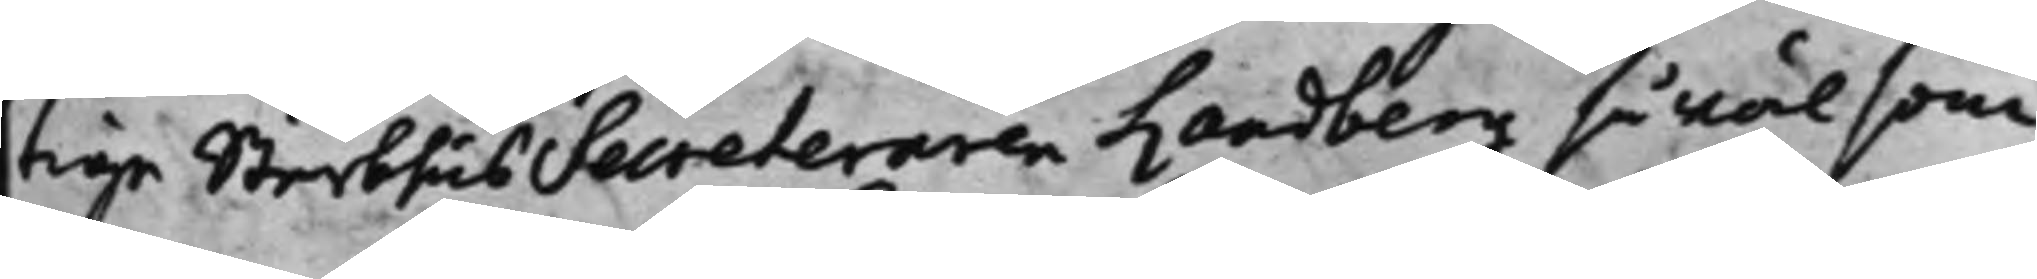tige Sterbhus Secreteraren Landberg så wäl som
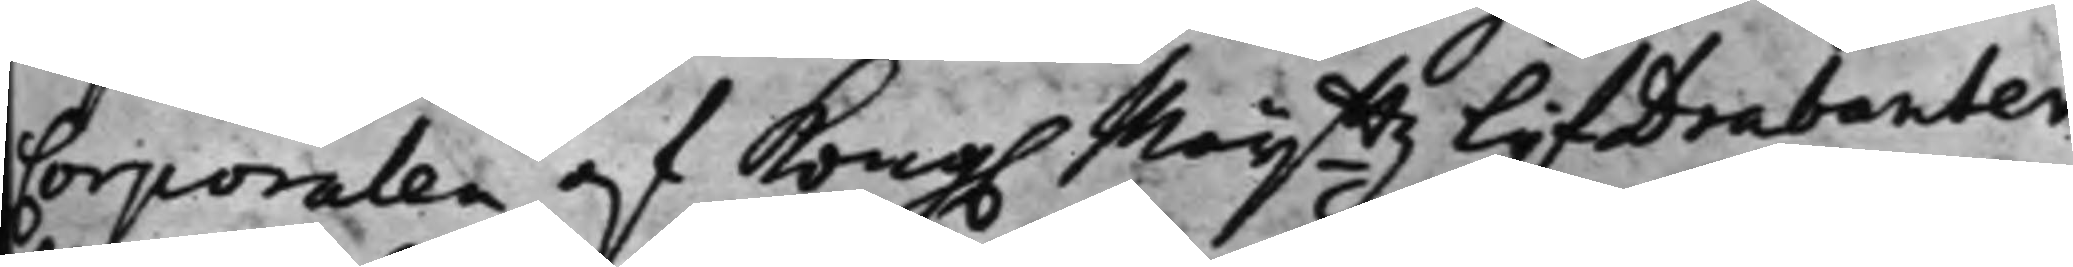Corporalen af Kong. Mayttz LijfDrabanter
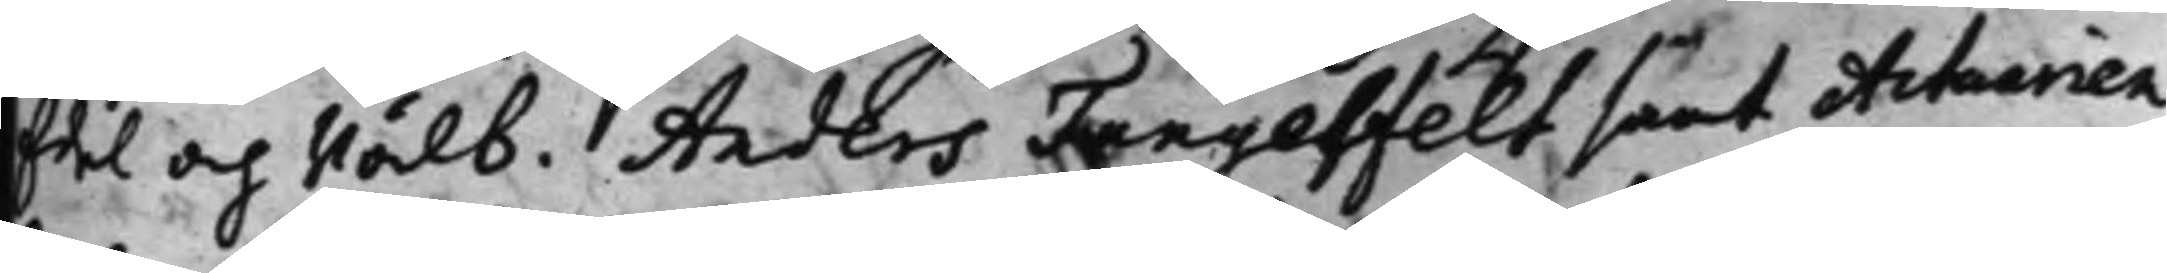Edel och Wälb. Anders Tungelfelt samt Actuarien
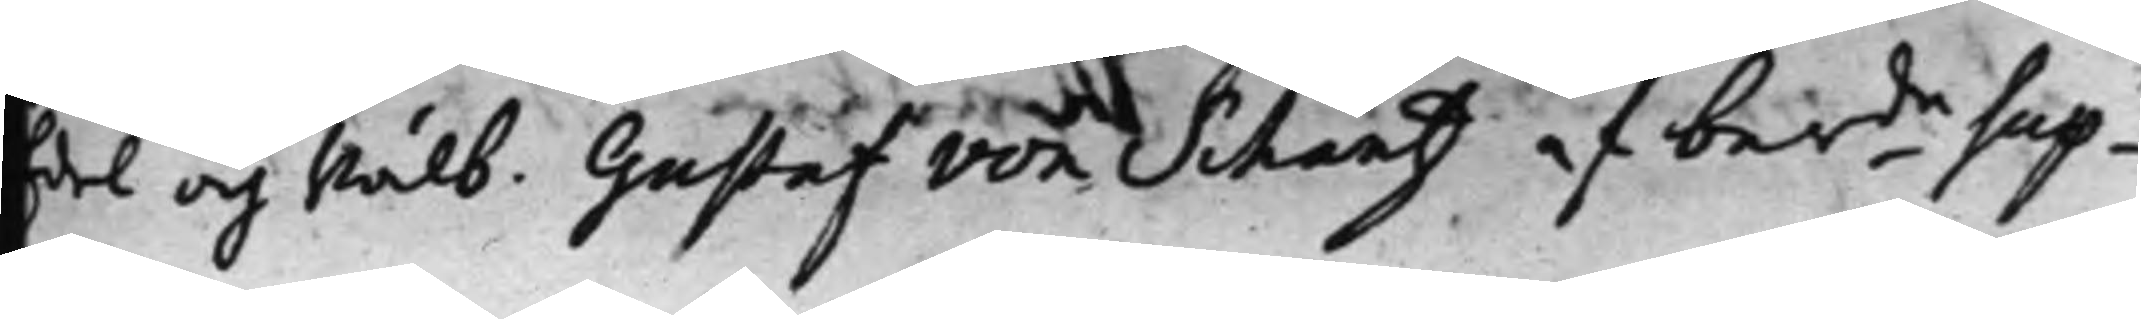Edel och Wälb. Gustaf von Schantz af ber.de Sup¬
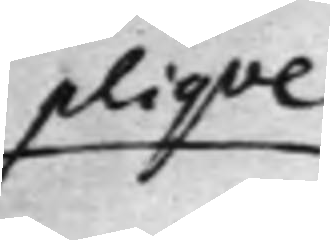pliqve
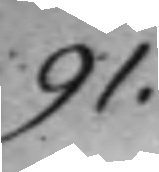91.
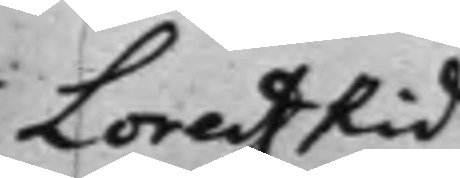Lorenz Rid¬
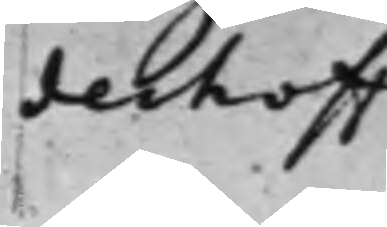derhoff
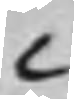C
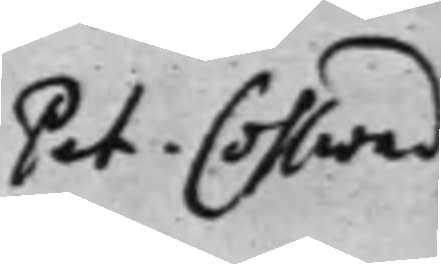Pet. Cosswad
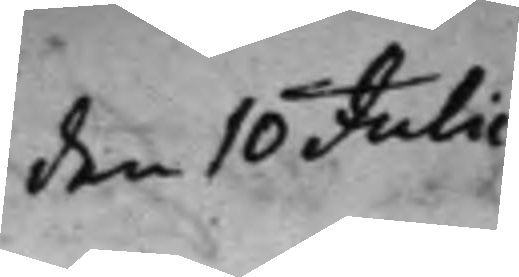den 10 Julii
